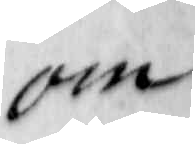om
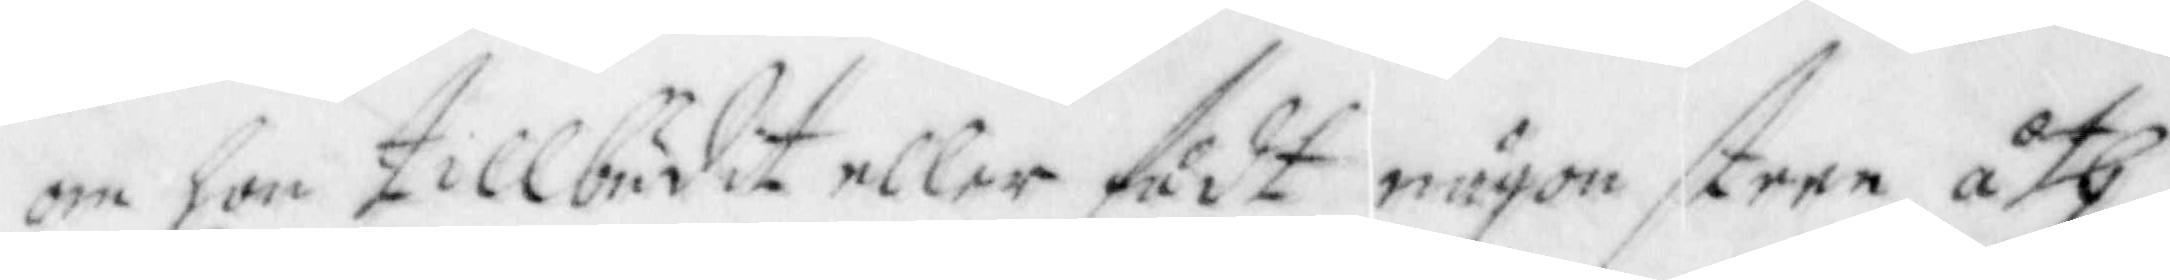om hon tillbudit eller fådt någon steen åth
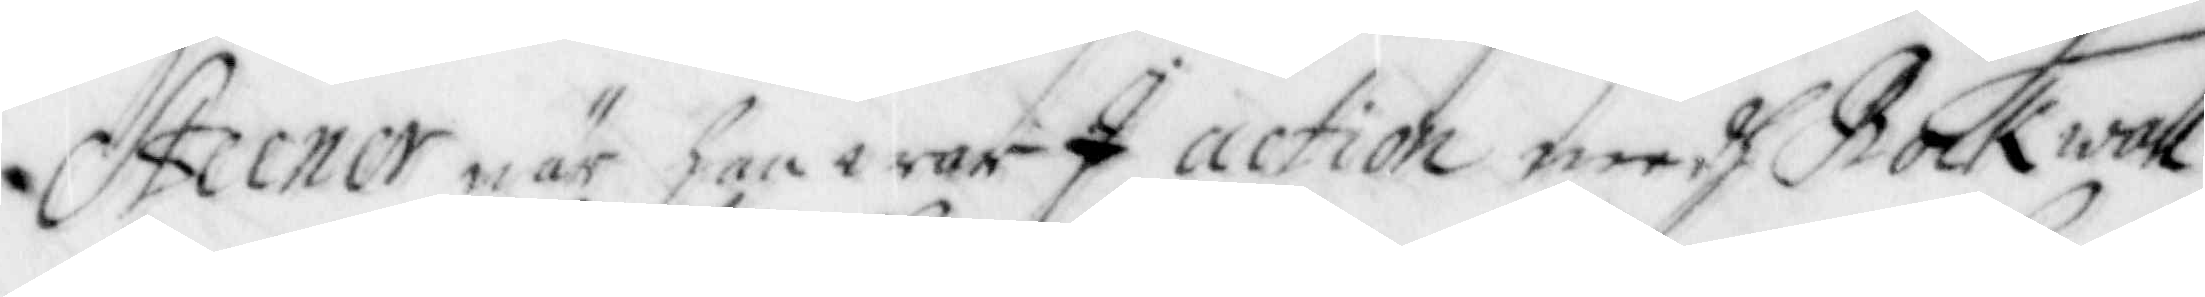Steener när han war I action medh Rockwall
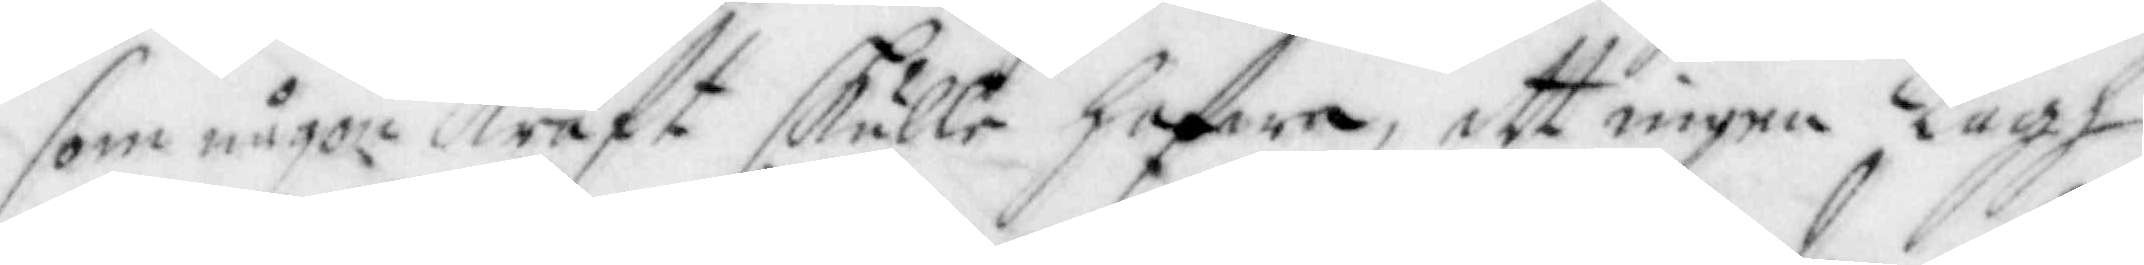som någon Kraft skulle hafwa, att ingen Lagh
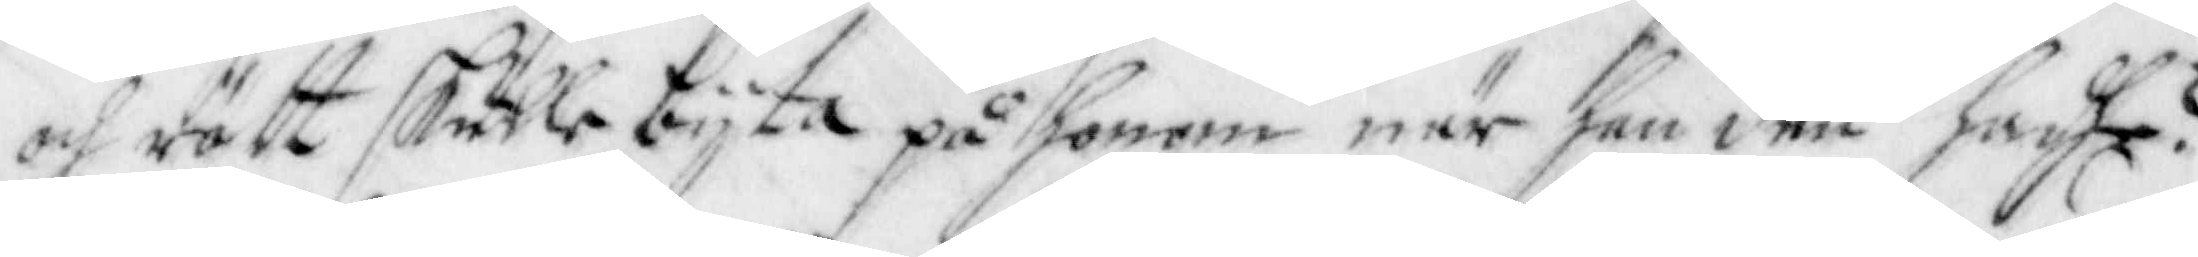och rätt skulle bijta på honom när han den hadhe?
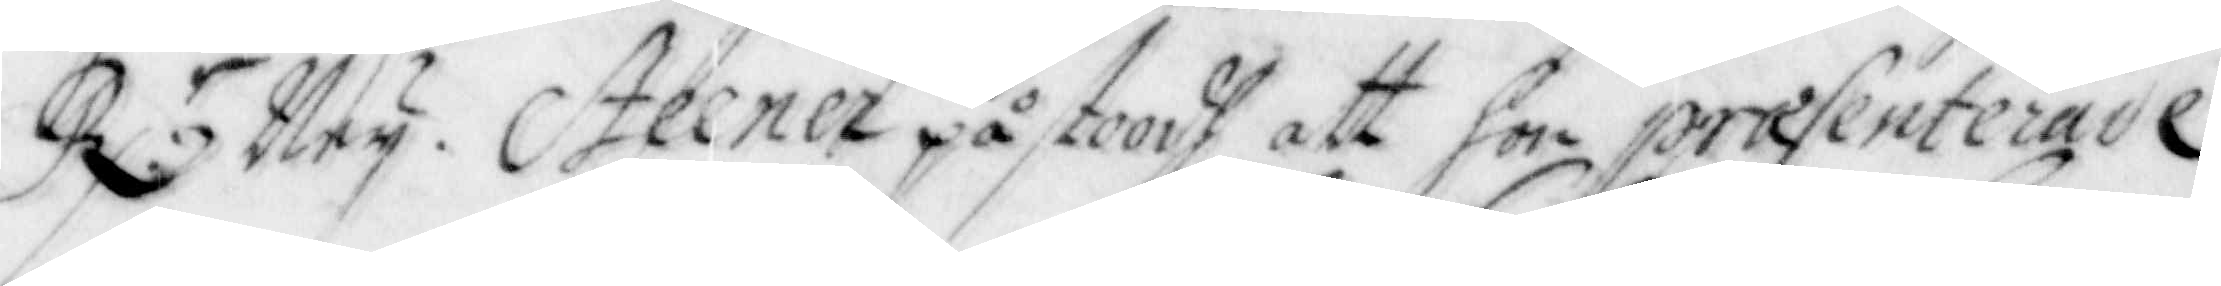R:r Ney. Steener påstoodh att hon praesenterade
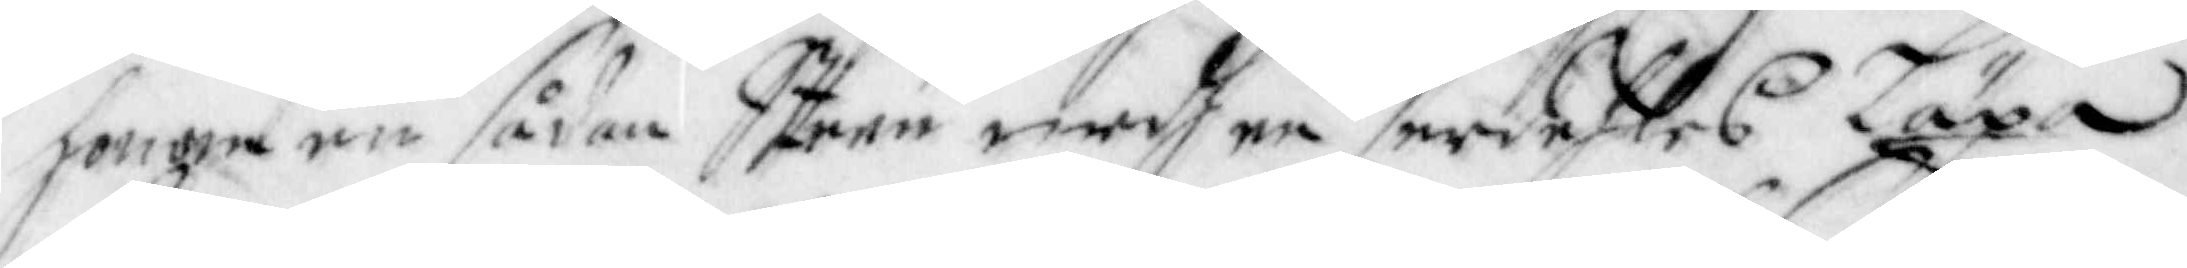honom en sådan Steen medh en serdehles Läxa
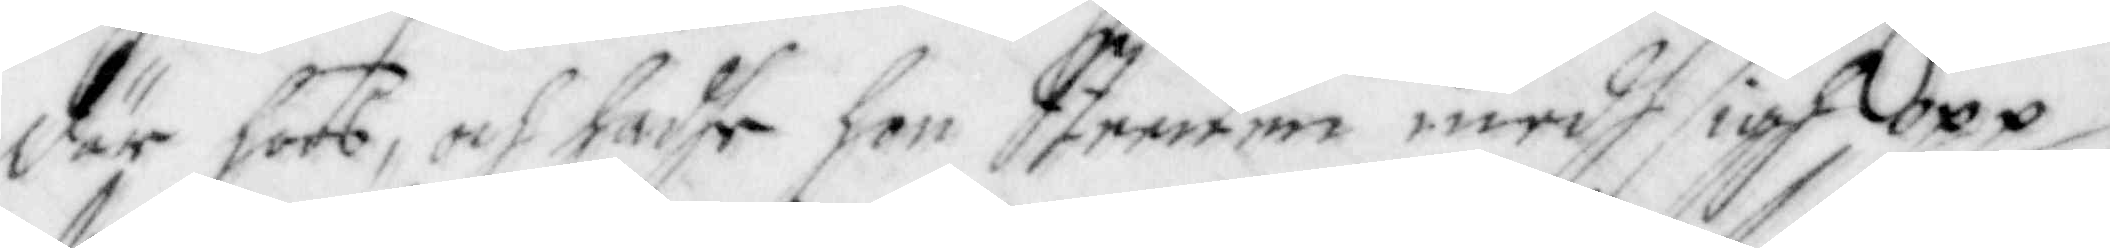där hoos, och hadhe hon Steenen medh sigh opp
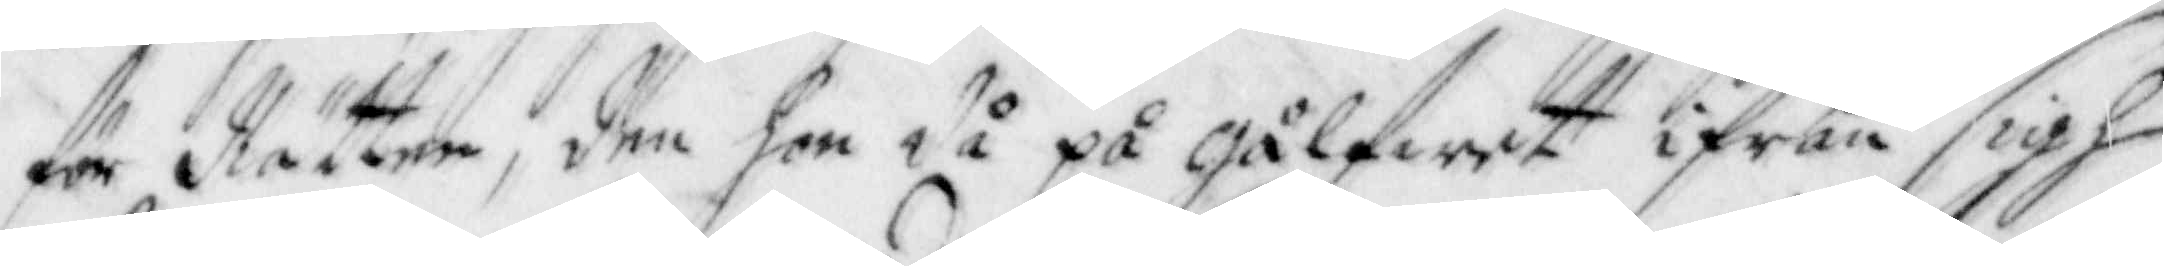för Rätten; den hon då på Gålfwet ifrån sigh
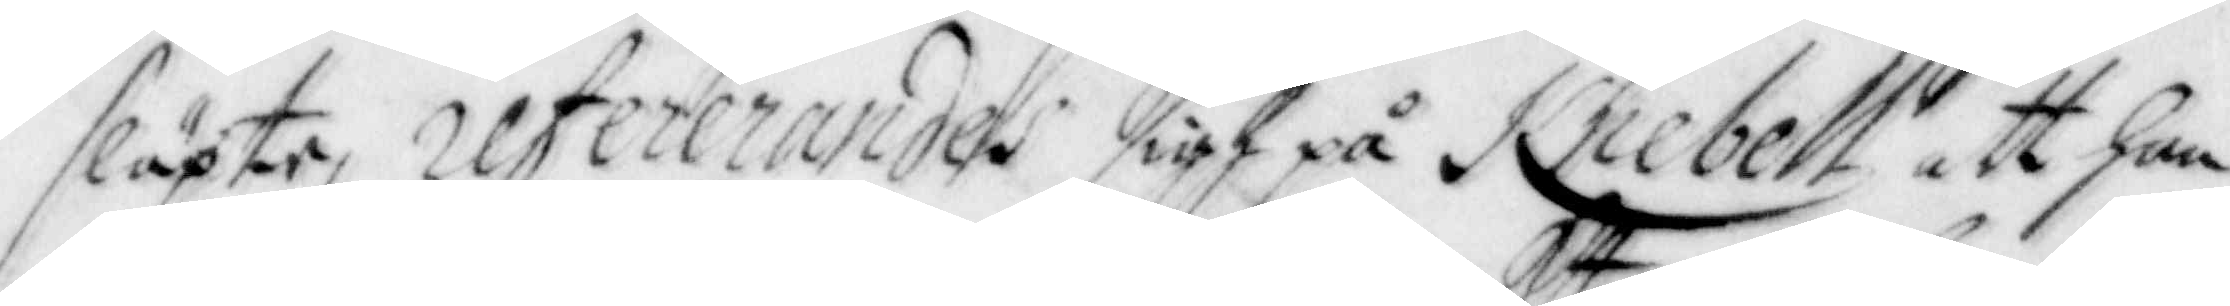släpte, refererandes sigh på Knebell att han
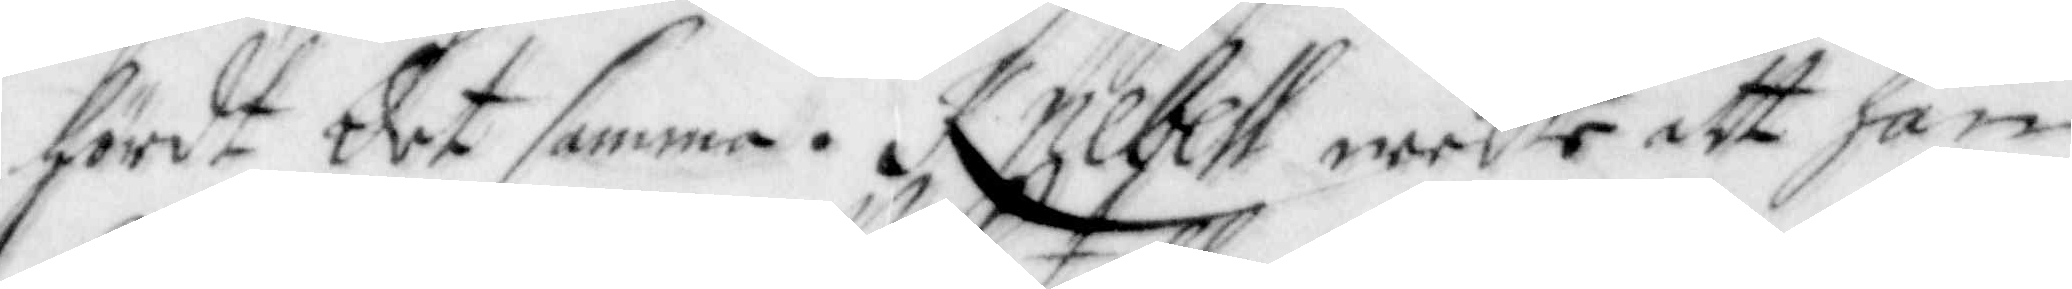hördt det samma. Knebell neekte att han
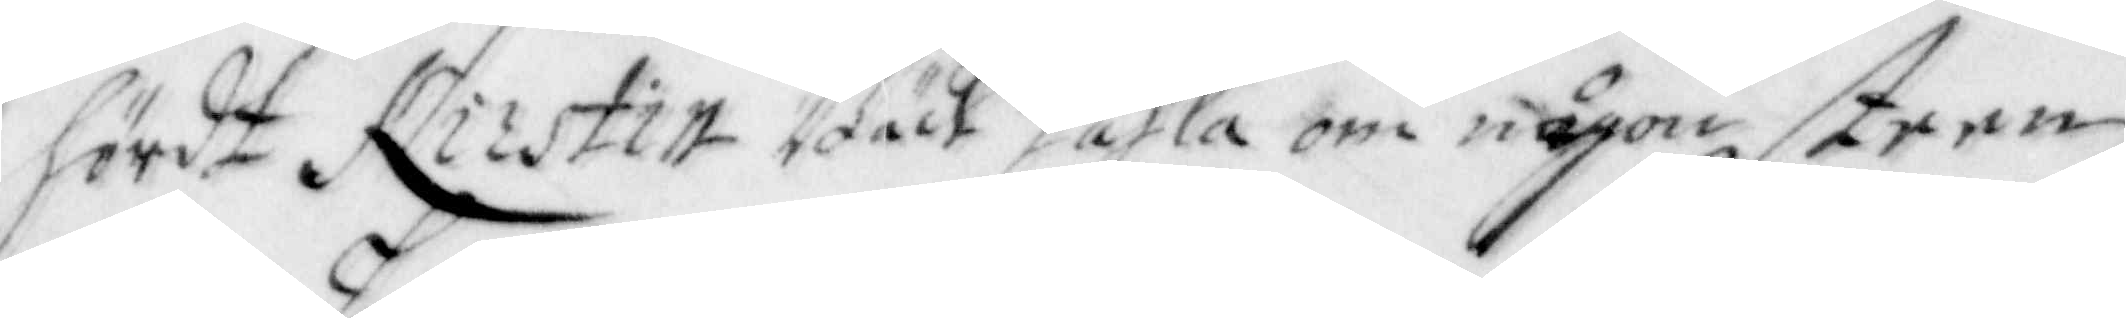hördt Kirstin Bäck tahla om någon steen
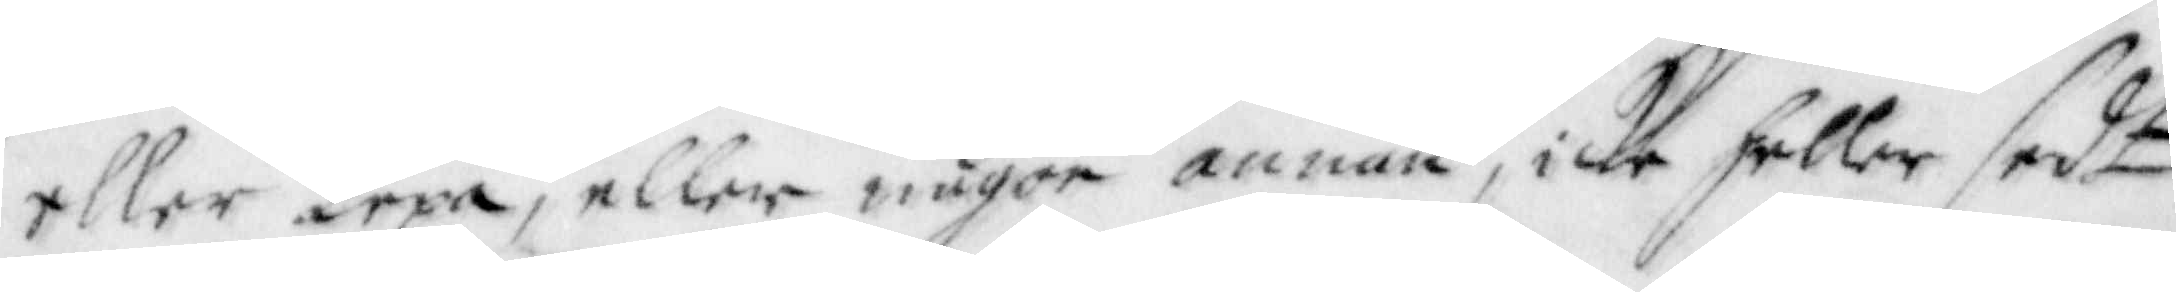eller Lexa, eller någon annan, icke heller sedt
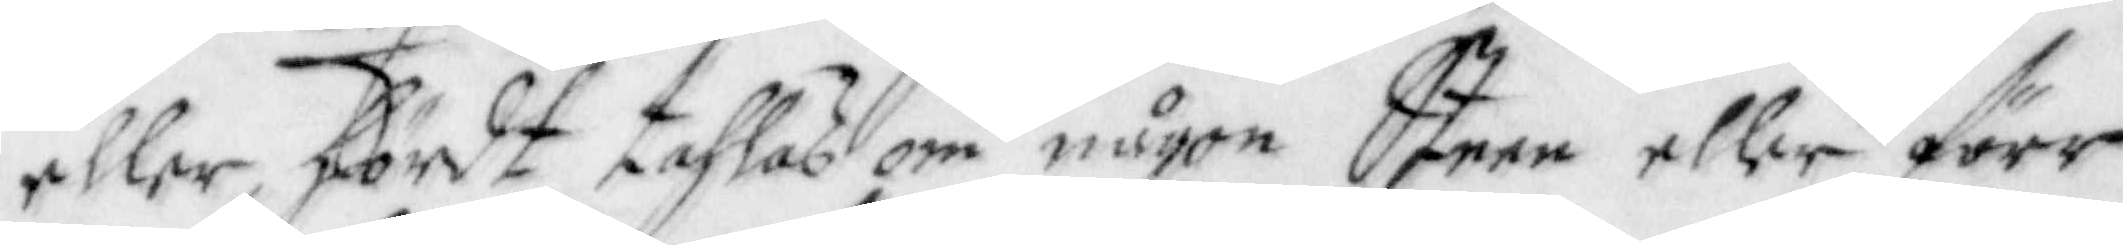eller hördt tahlas om någon Steen eller förr
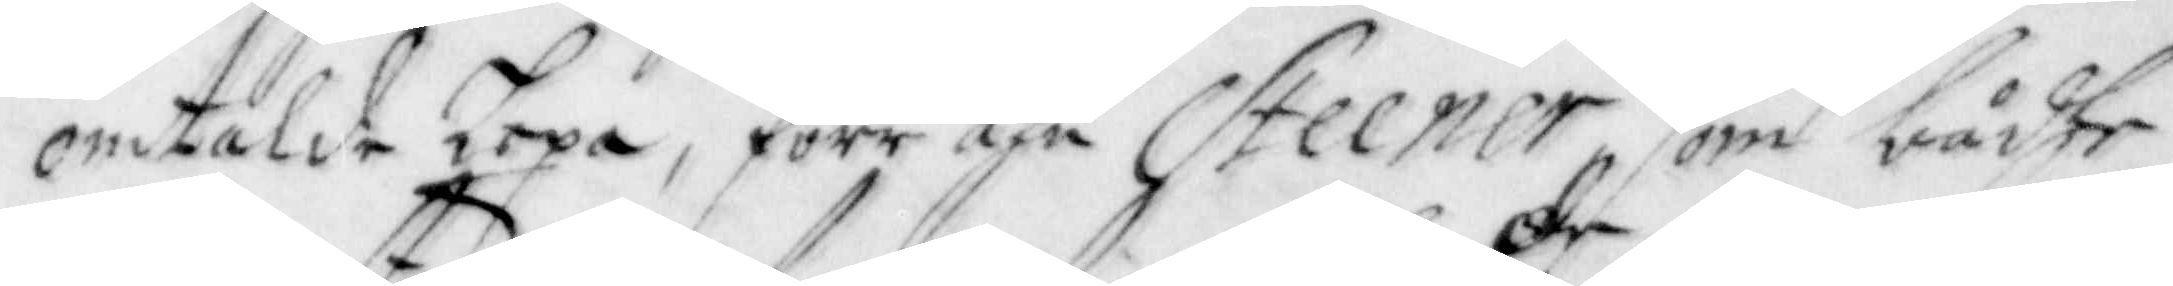omtalde Lexa, förr ähn Steener, som bådhe
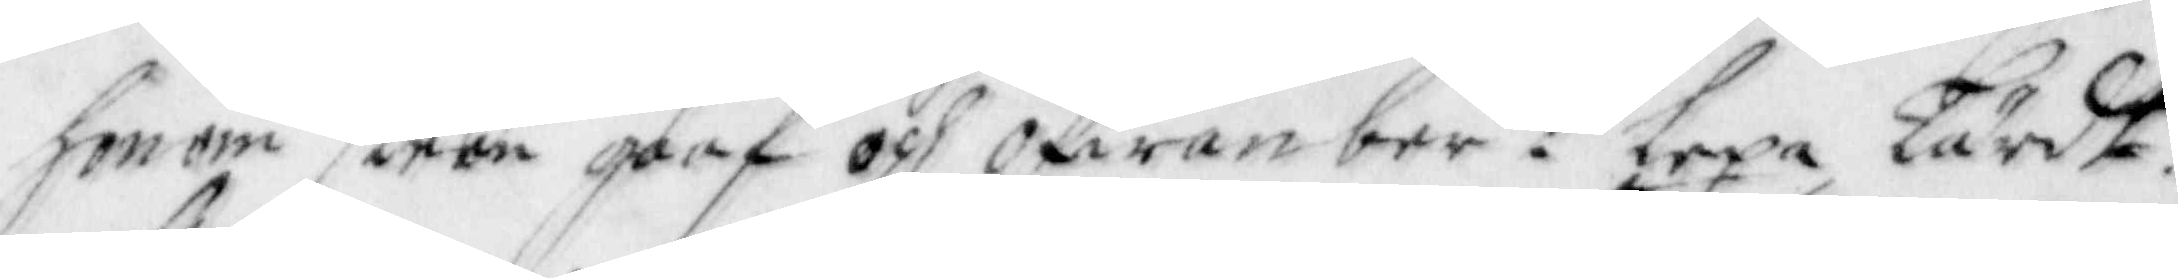honom steen gaaf och ofwan ber:de lexa Lärdt.
